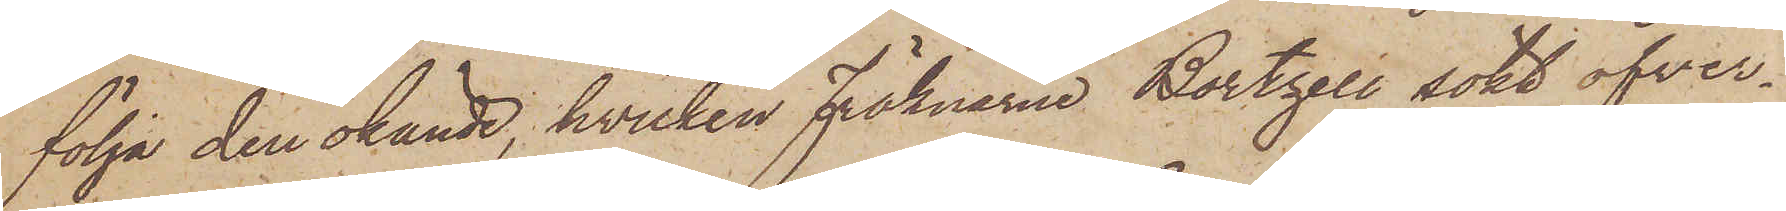följa den okände, hvilken fröknarne Bortzell sökt öfver¬
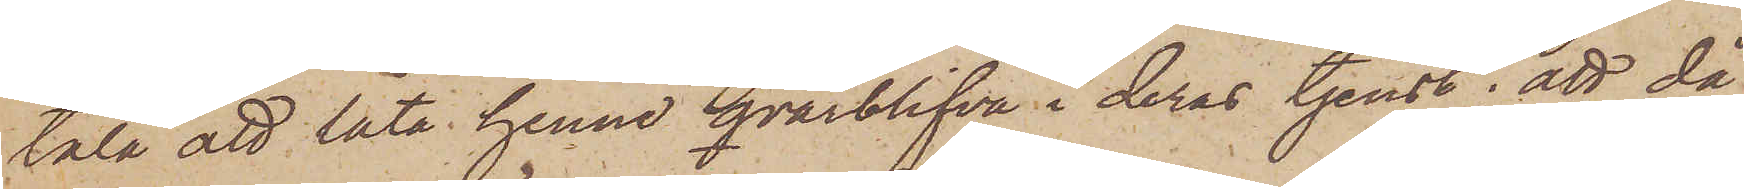tala att låta henne qvarblifva i deras tjenst; att då
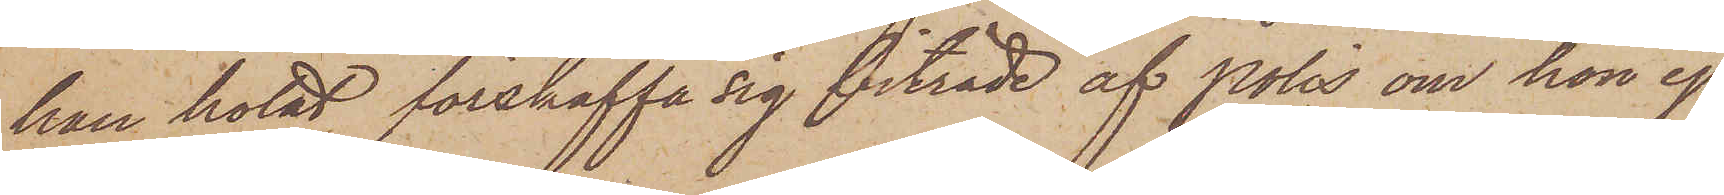han hotat förskaffa sig biträde af Polis om hon ej
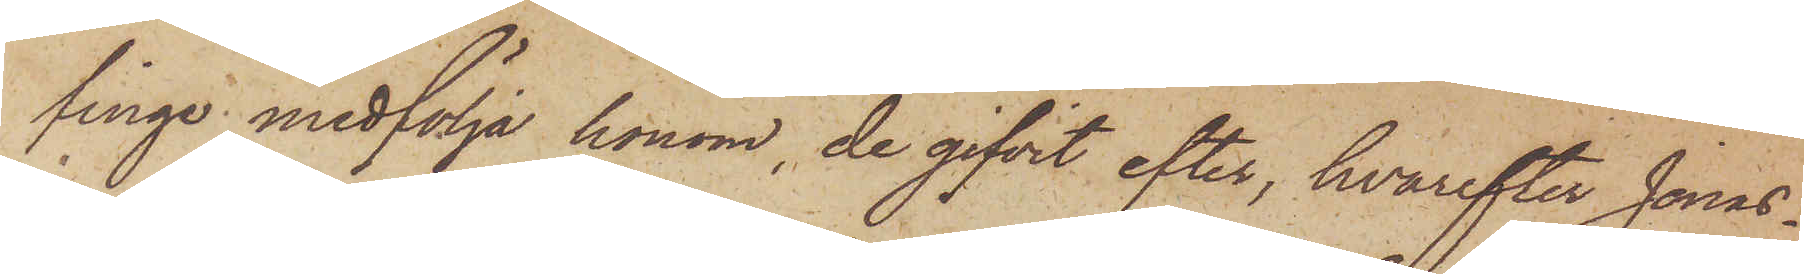linge medfölja honom, de gifvit efter, hvarefter Jonas¬
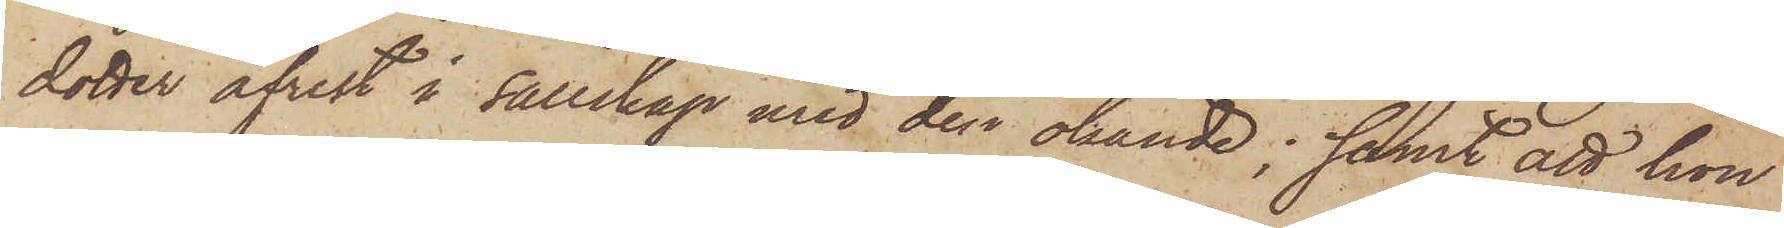dotter afrest i sällskap med den okände; samt att hon
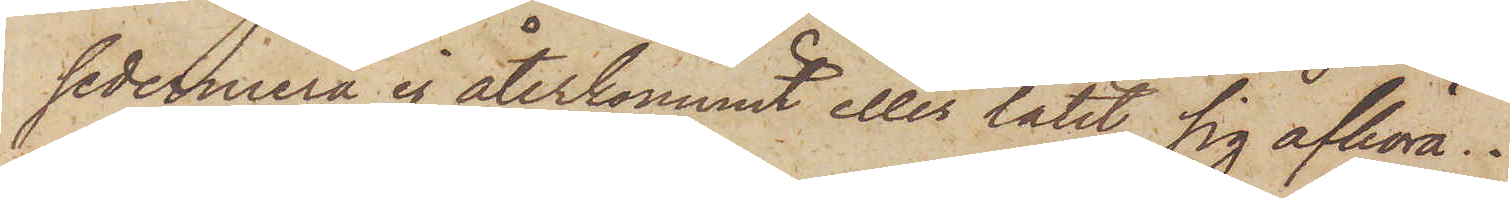sedermera ej återkommit eller låtit sig afhöra.
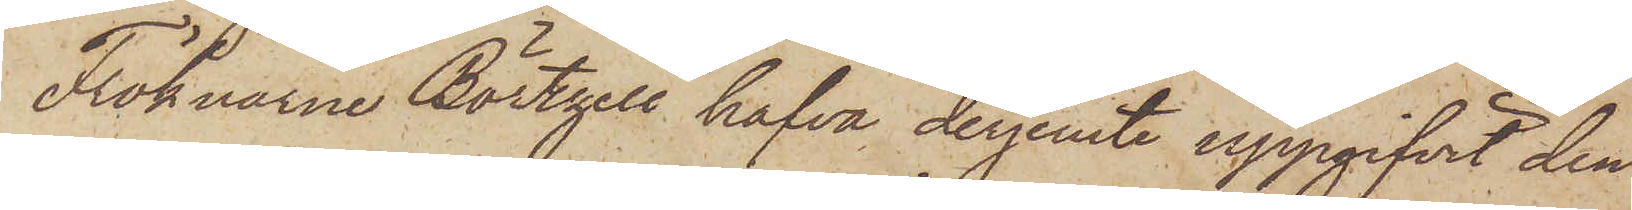Fröknarne Börtzell hafva derjemte uppgifvit den
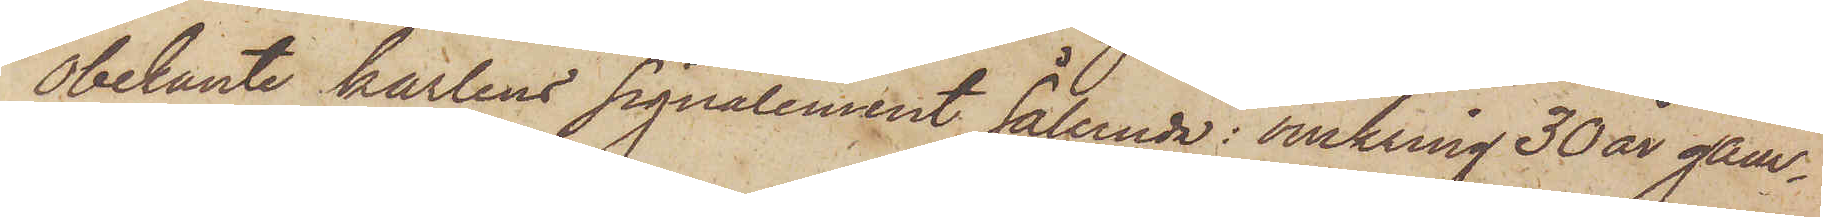obekante karlens signalement sålunda: omkring 30 år gam¬
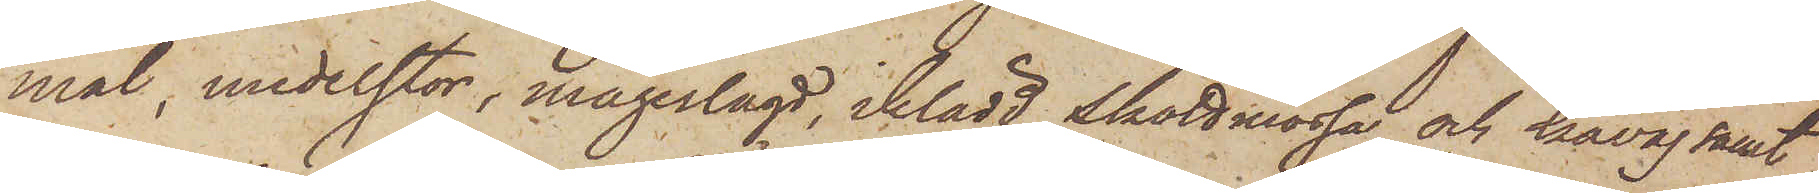mål, medelstor, magerlagd, iklädd skottmössa och kavaj samt
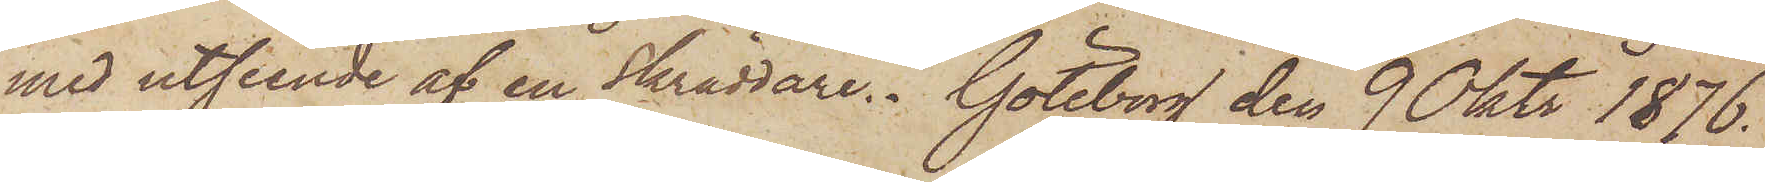med utseende af en skräddare. Göteborg den 9 Oktr 1876.
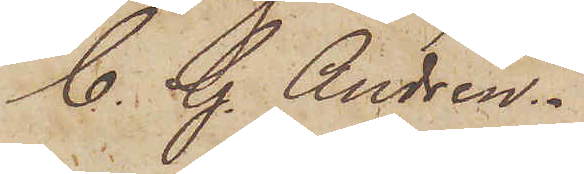C. G. Andrén.
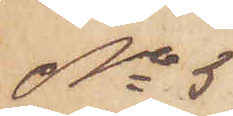No 5
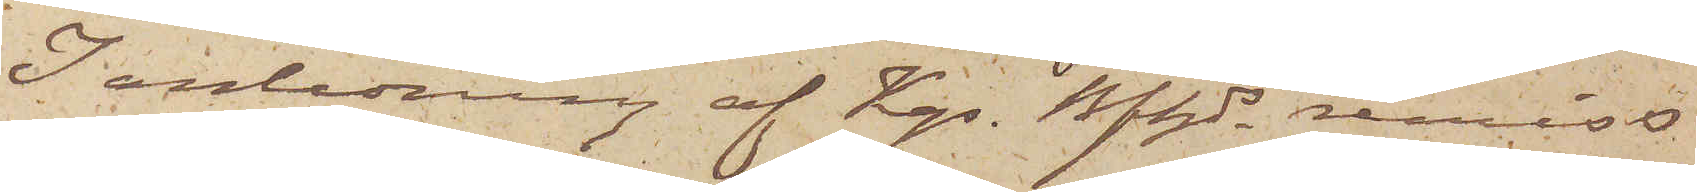I anledning af Kgs. Bfhds remiss
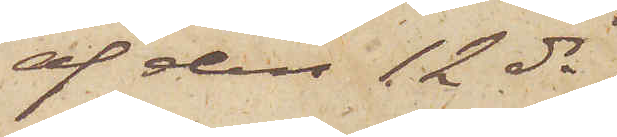af den 12 ds
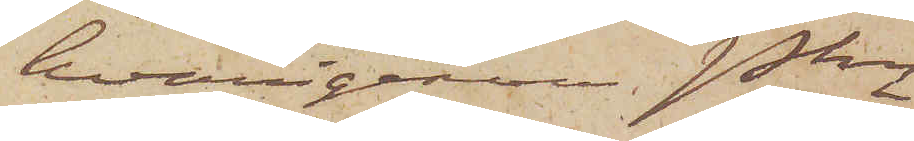hvarigenom Pkn
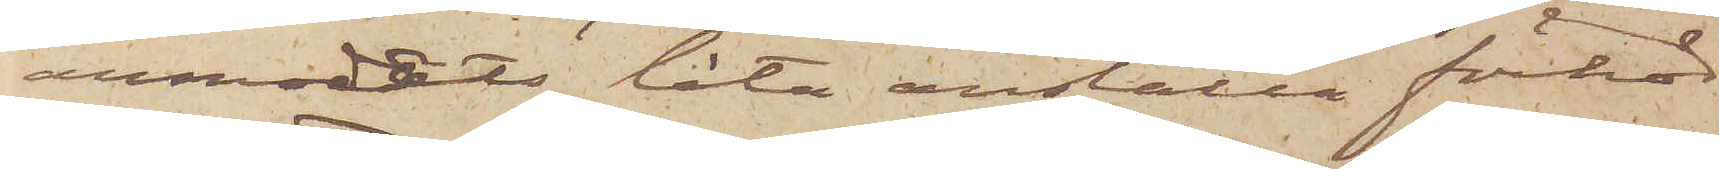anmodats låta anställa förhör
